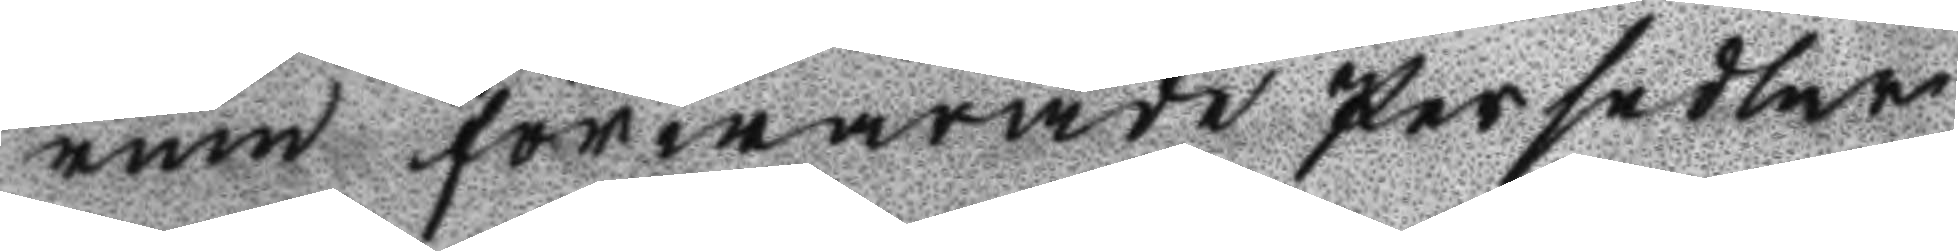rum förwarade Persedlar
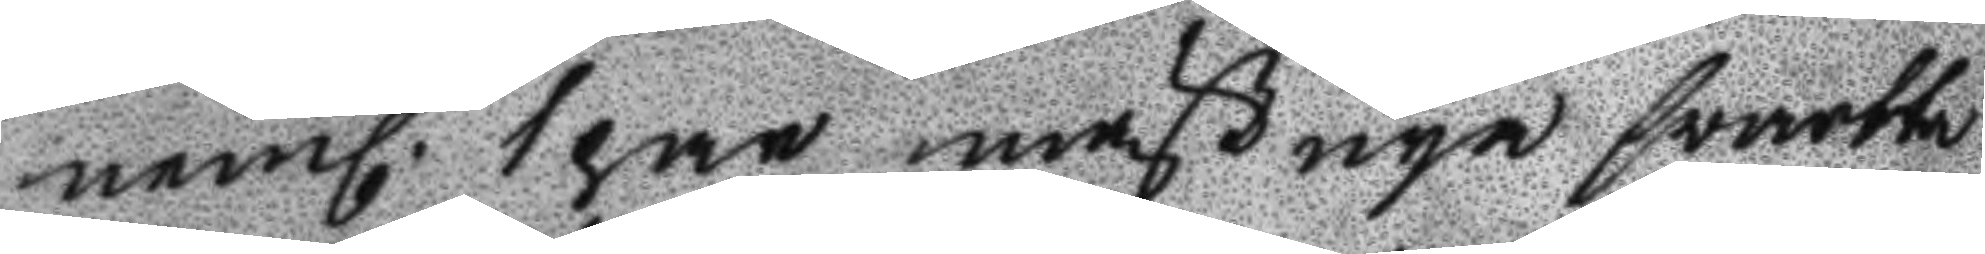neml. 1 par mäst nya svartta
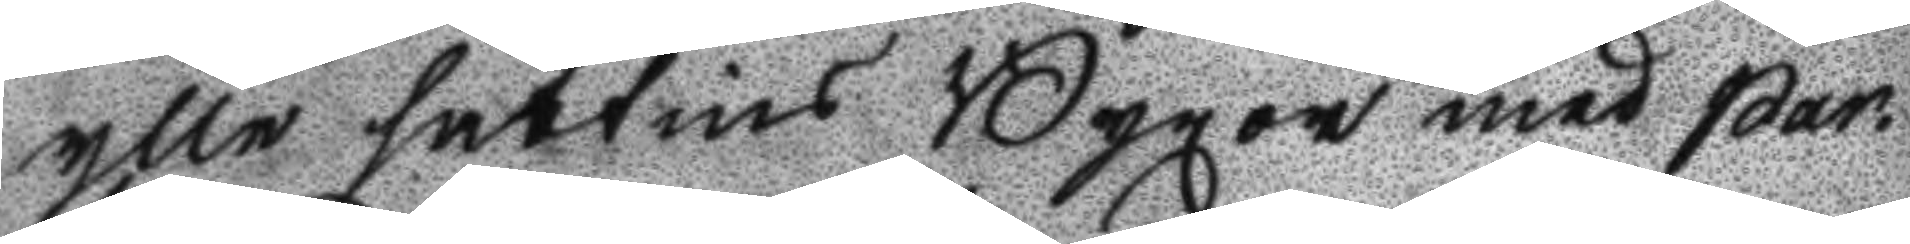ylle sattins Byxor med qar¬
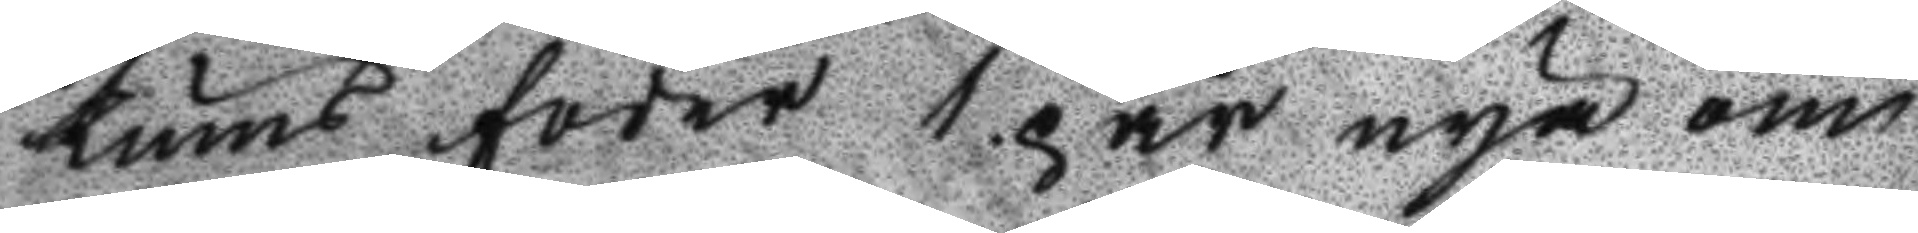tums foder 1 par nya om
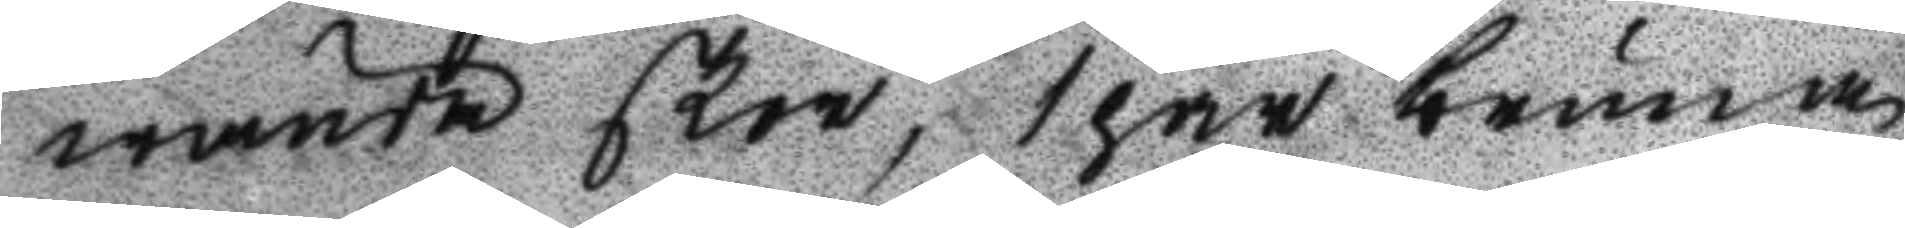wände skor, 1 par bruna
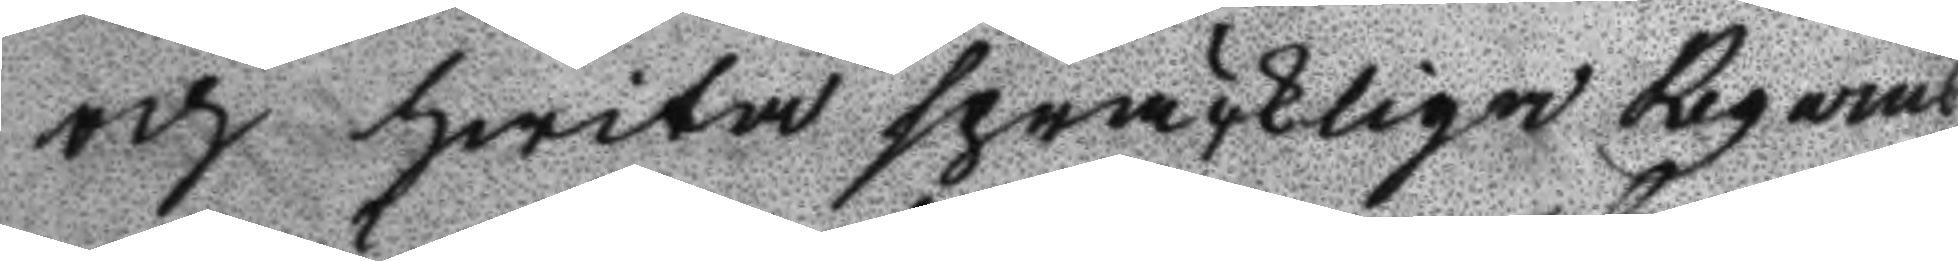och hwita spräckliga Regarns
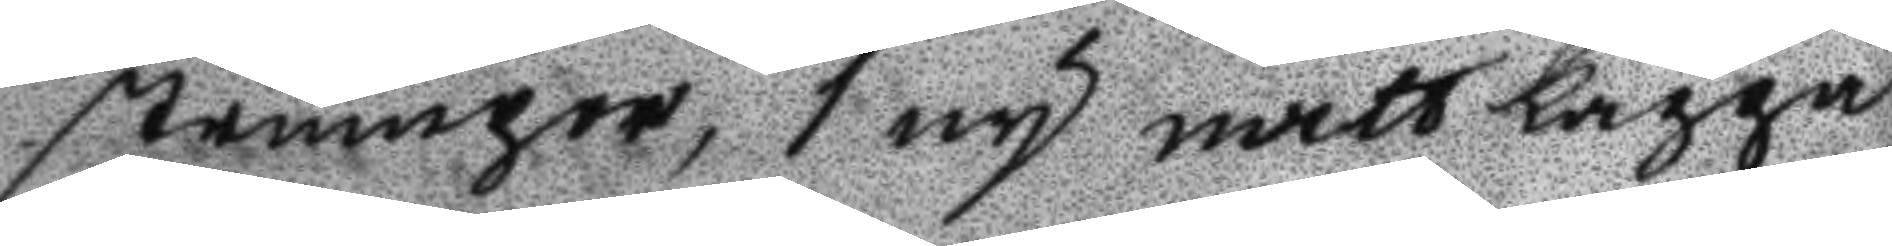strumpor, 1 ny nattkappa
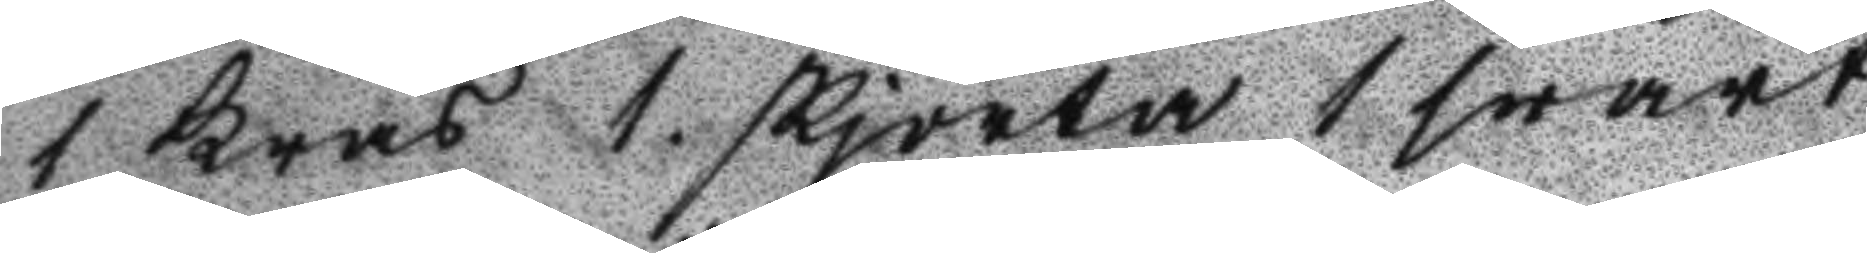1 krås 1. skjorta 1 swart
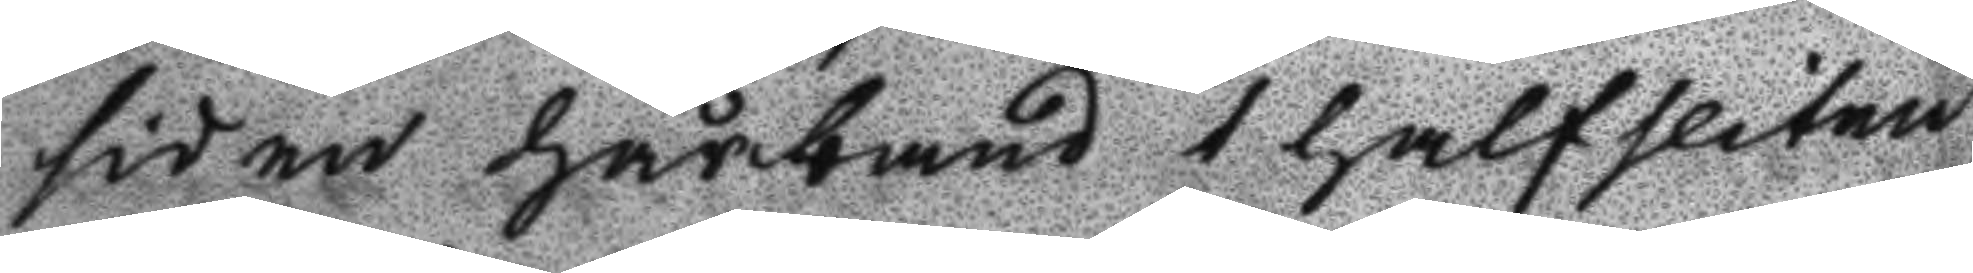siden hårband 1 halfsliten
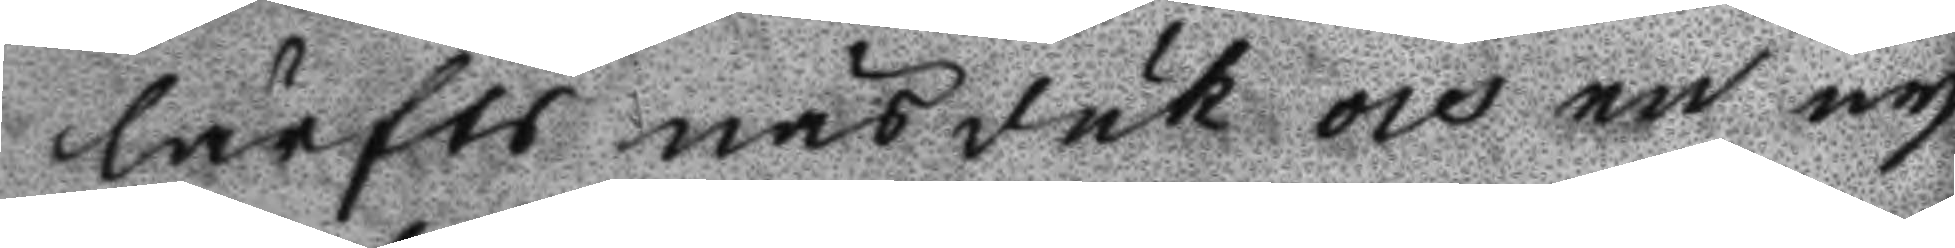lärfts näsduk och en ny
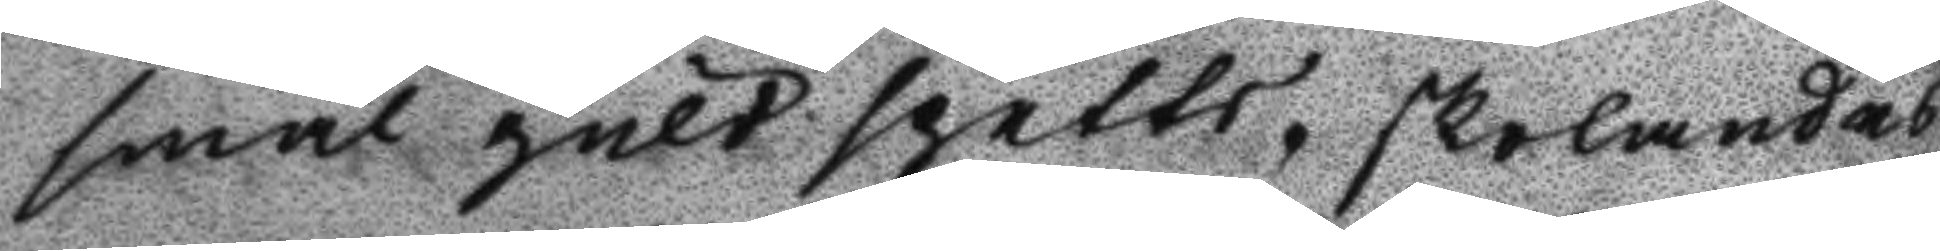smal guldspetts, skolandes
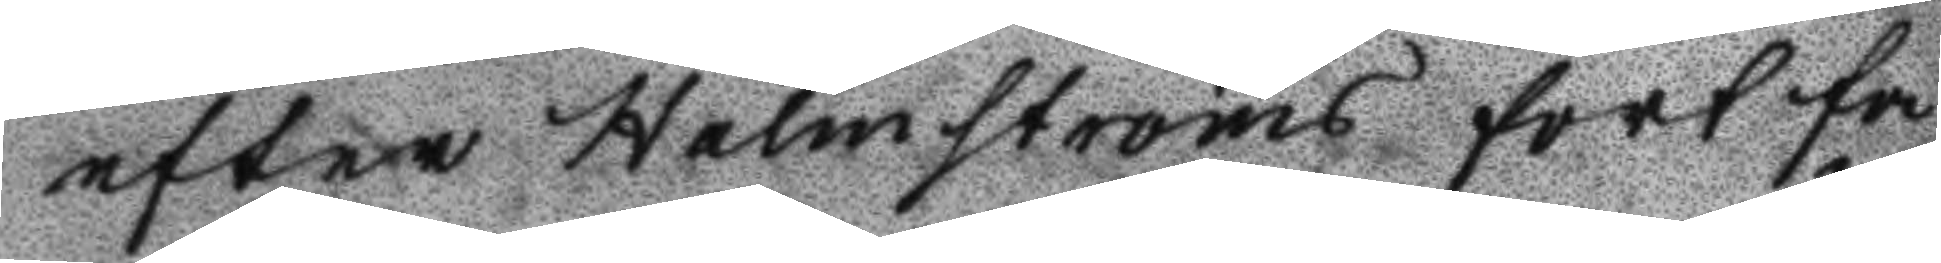efter Holmströms förtfa
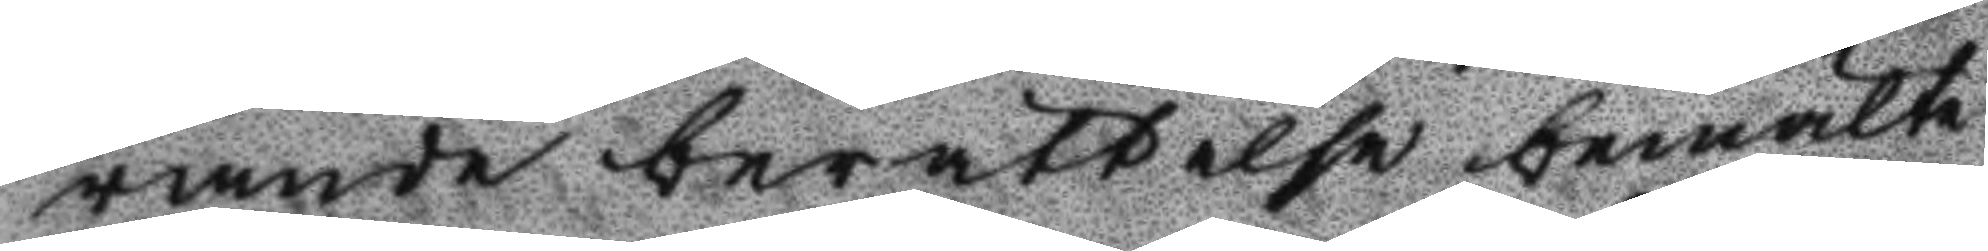rande berättelse bemälte
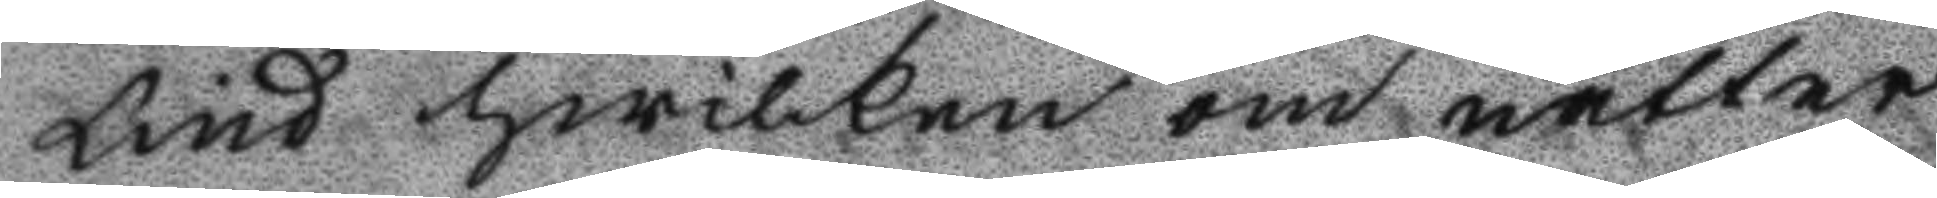Lind hwilken om nätter
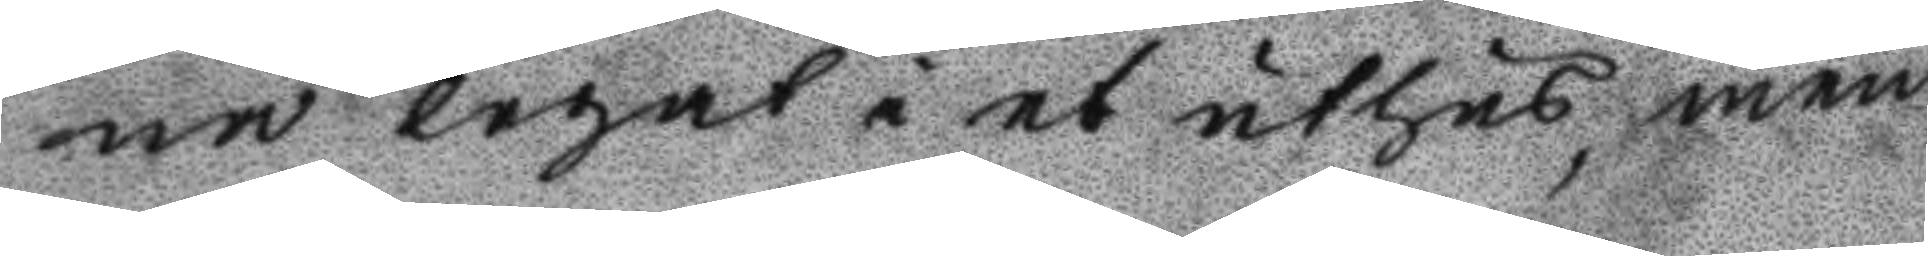na legat i et uthus, men
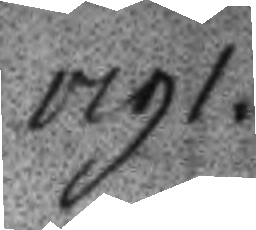1791.
